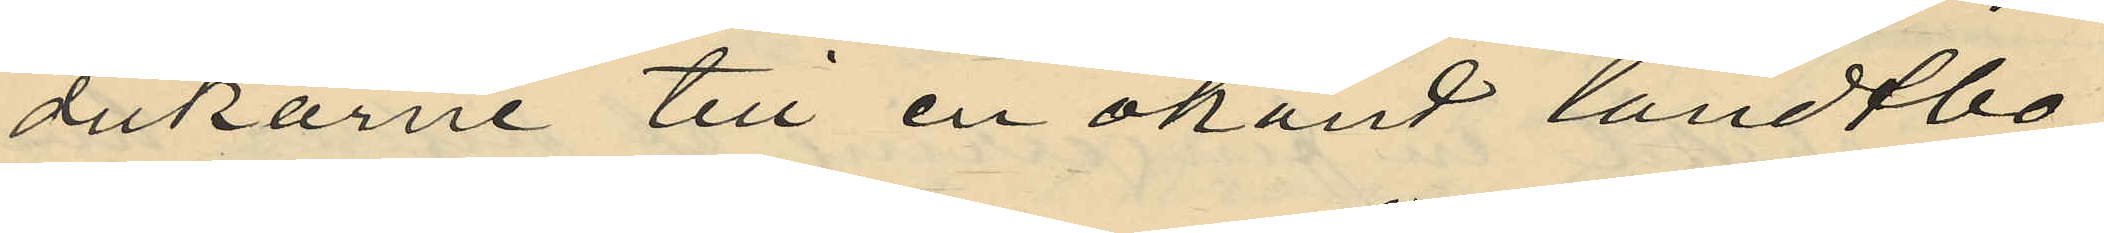dukarne till en okänd landtbo
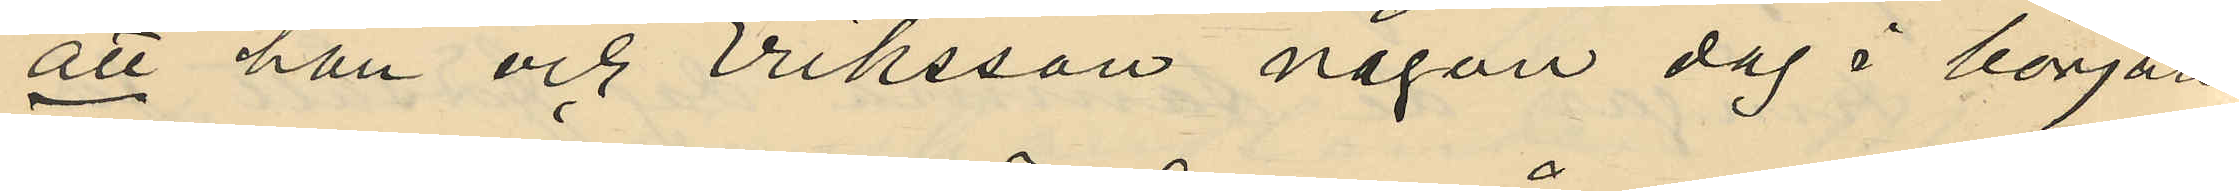att han och Eriksson någon dag i början
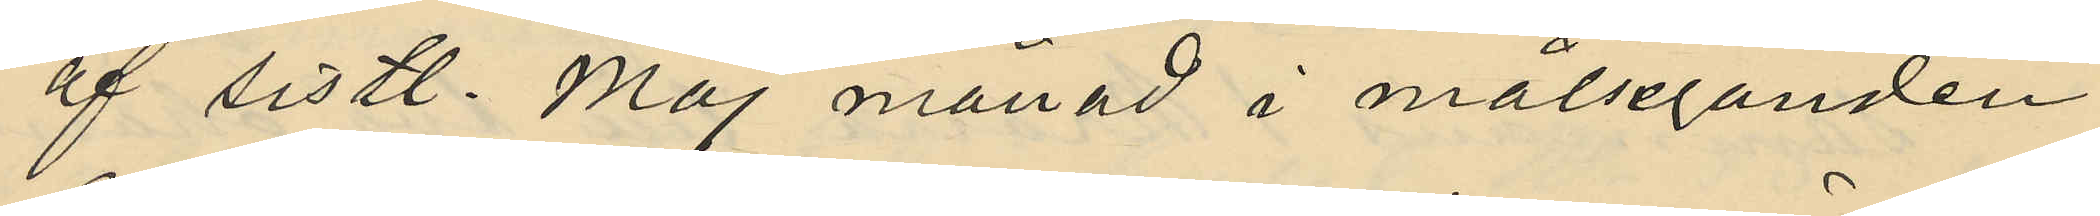af sistl. Maj månad i målseganden
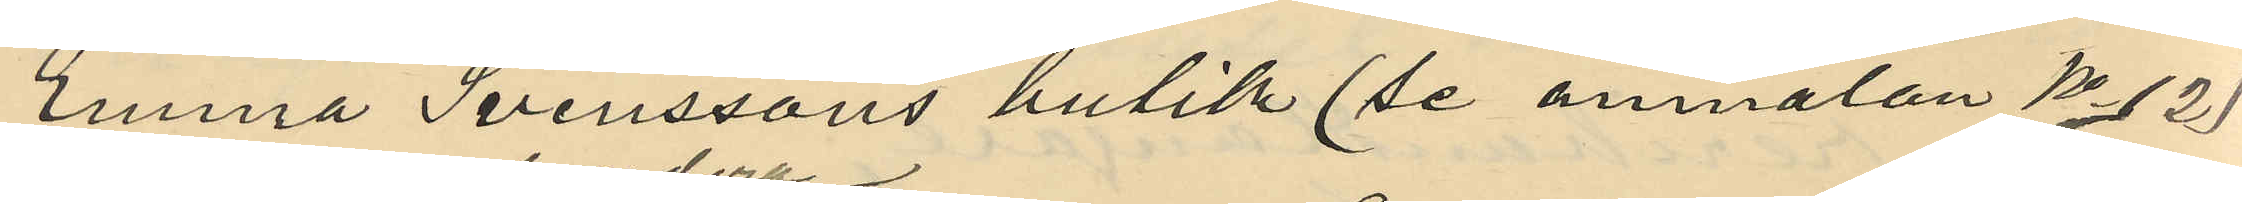Emma Svenssons butik (se anmälan No 12)
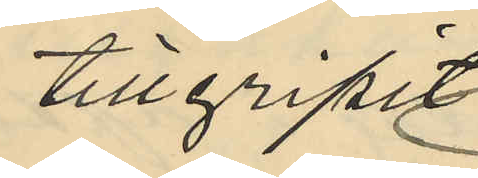tillgripit
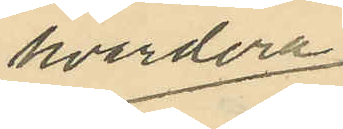hvardera
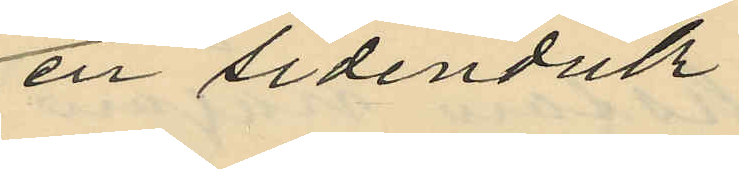en sidenduk
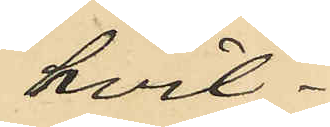hvil¬
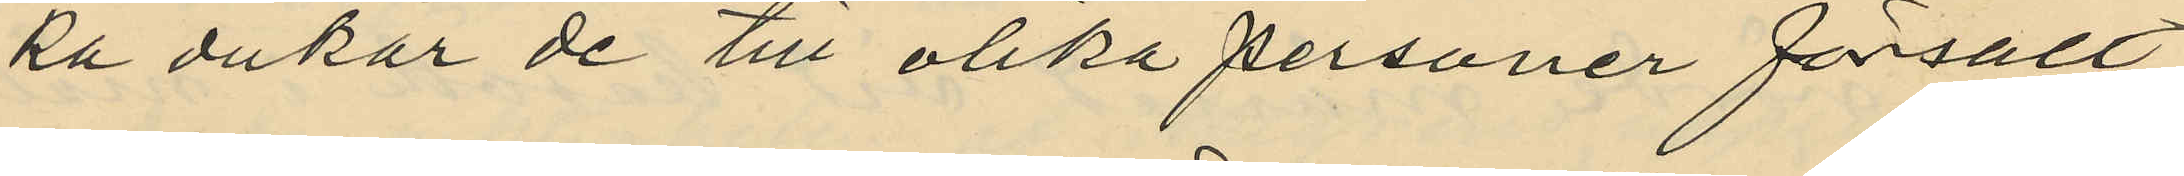ka dukar de till olika personer försålt
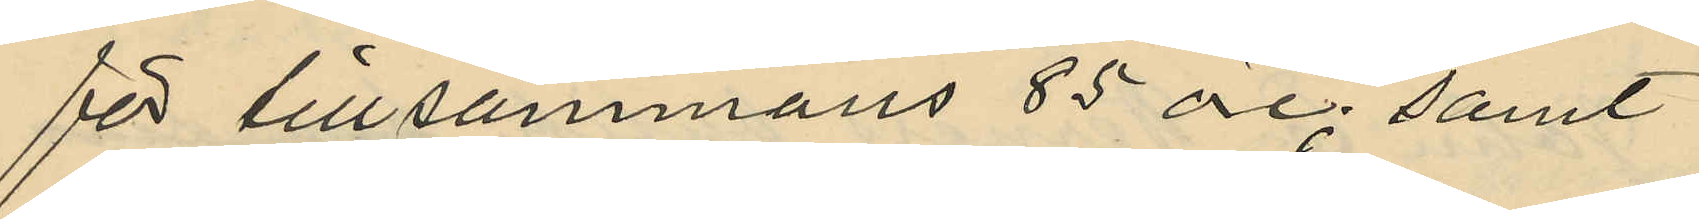för tillsammans 85 öre; samt
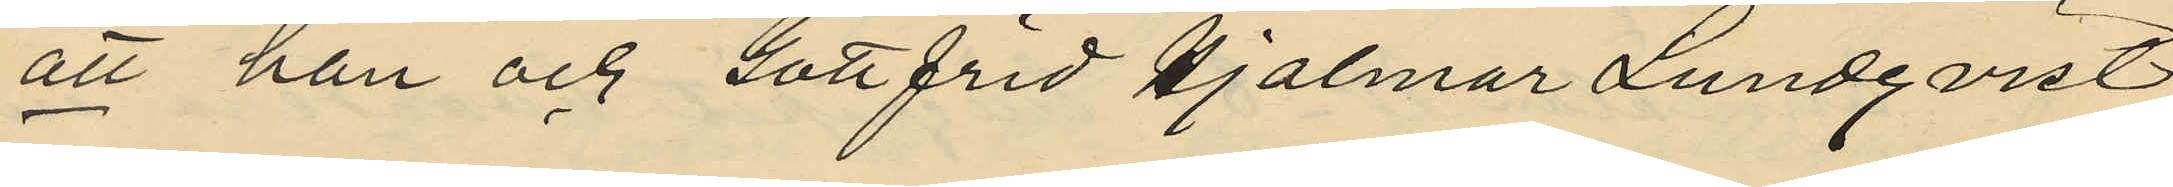att han och Gottfrid Hjalmar Lundqvist
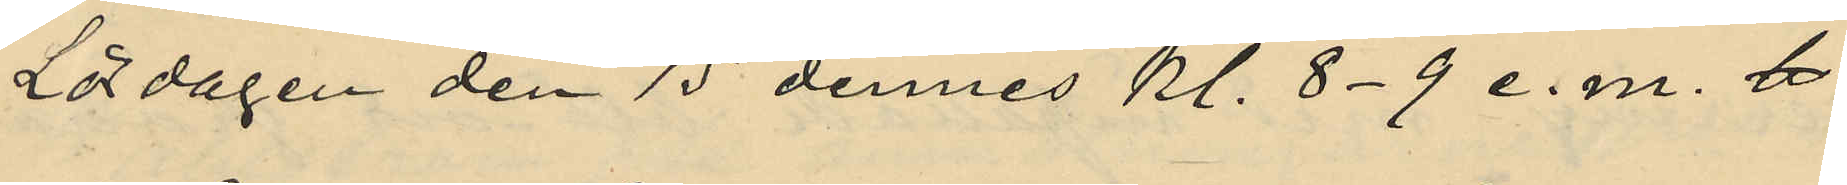Lördagen den 15 dennes kl. 8-9 e.m. 
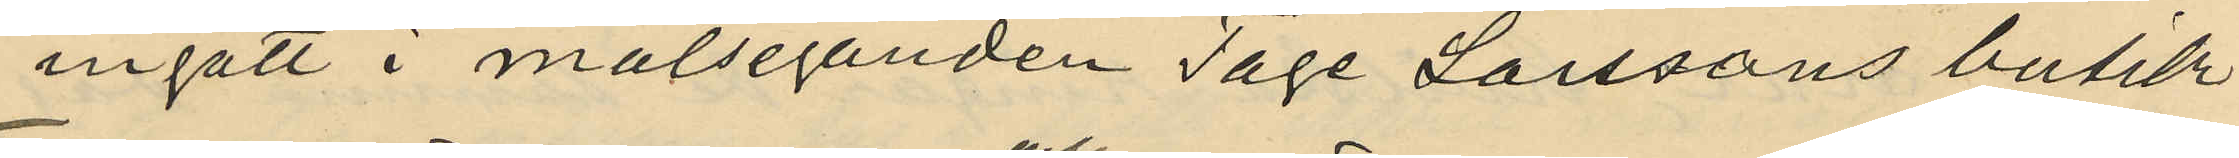ingått i målseganden Tage Larssons butik
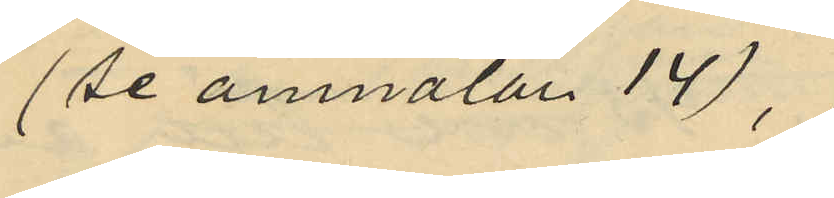(se anmälan 14),
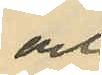och
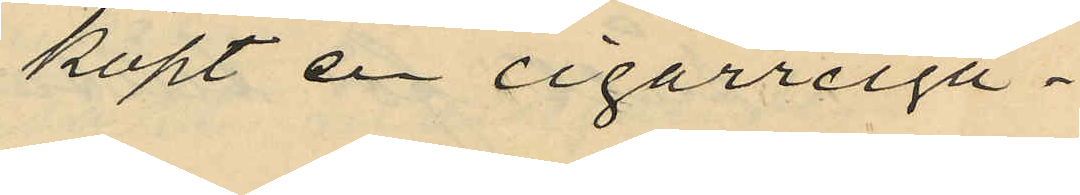köpt en cigarrciga¬.
